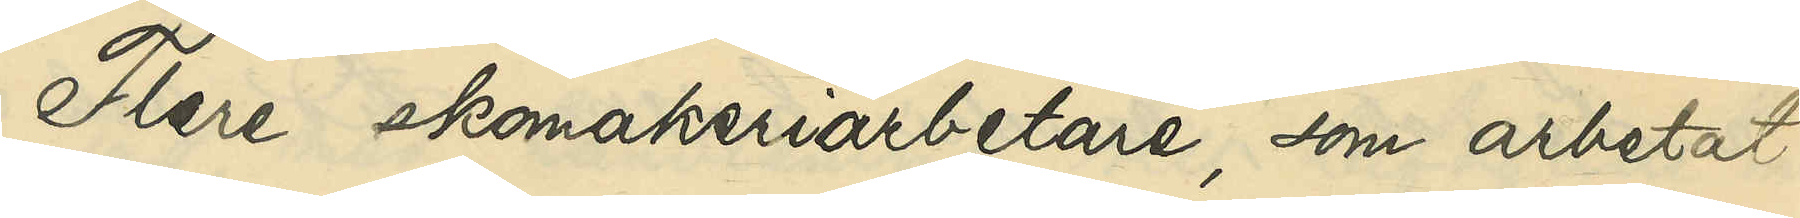Flere skomakeriarbetare, som arbetat
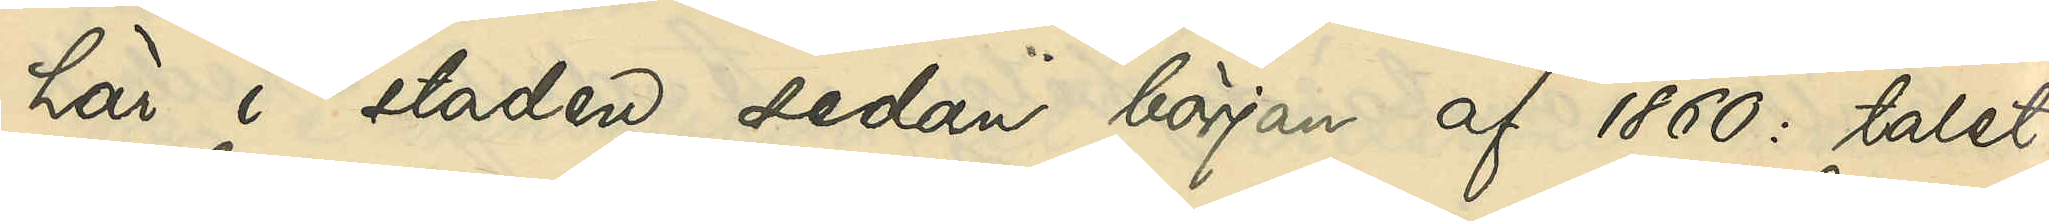här i staden sedan början af 1860: talet,
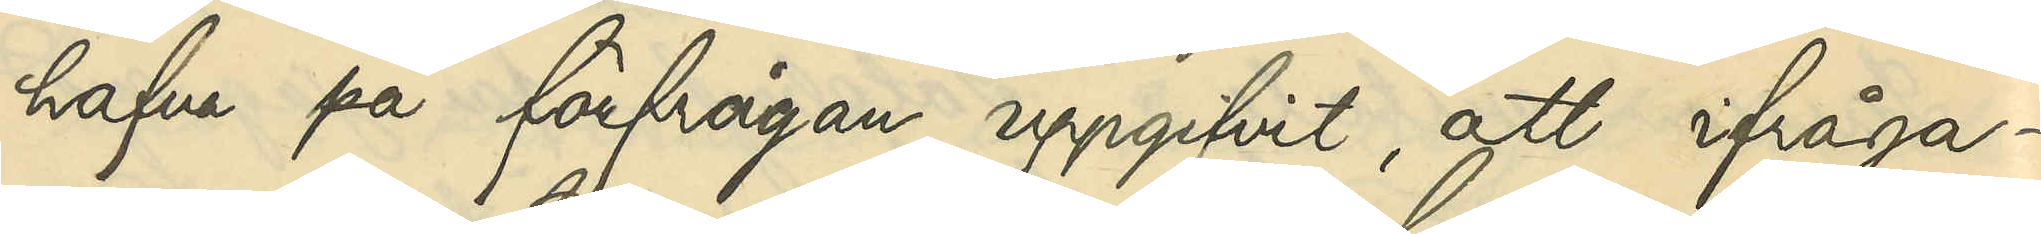hafva på förfrågan uppgifvit, att ifråga¬
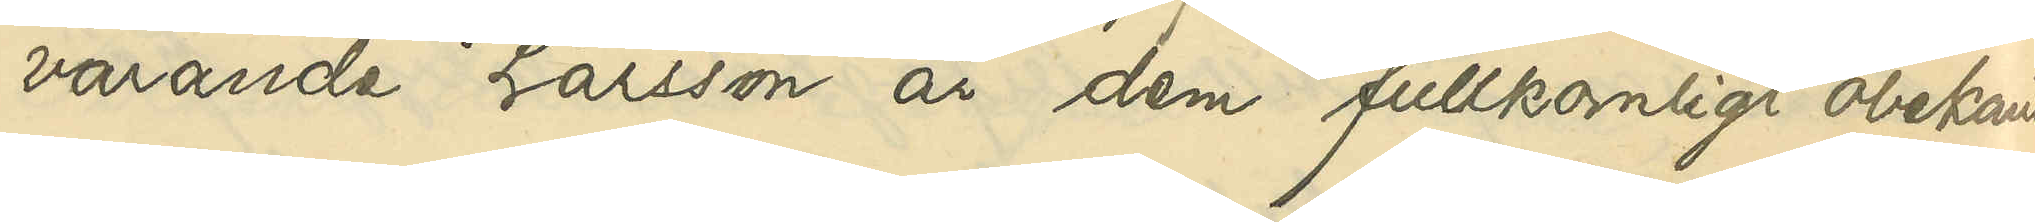varande Larsson är dem fullkomligt obekant.
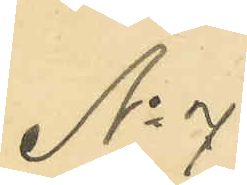No 7
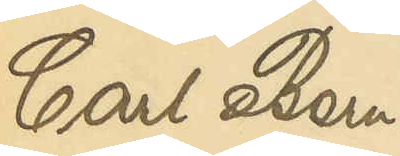Carl Bern¬
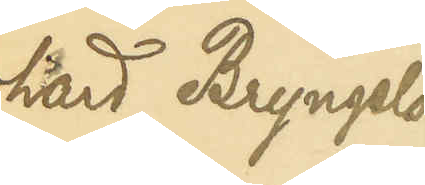hard Bryngels¬
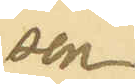son
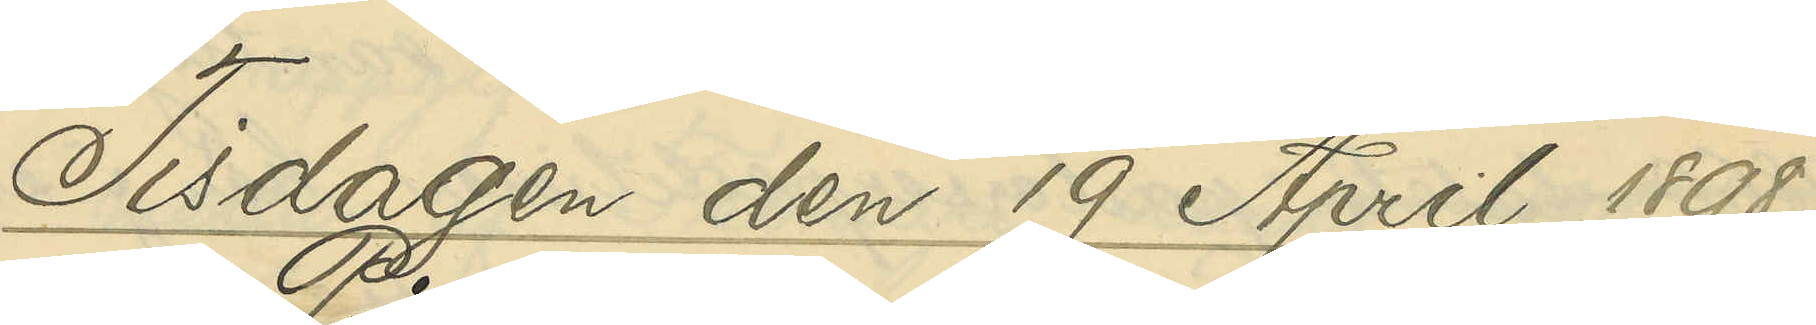Tisdagen den 19 April 1898.
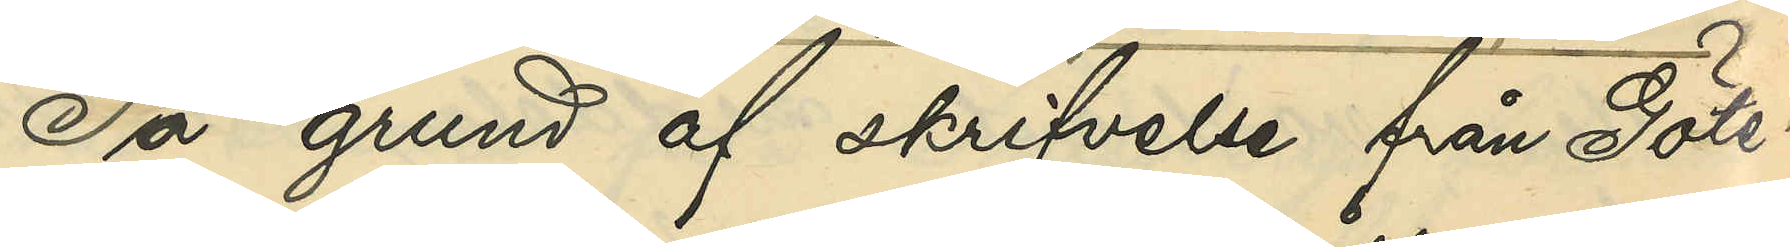På grund af skrifvelse från Göte¬
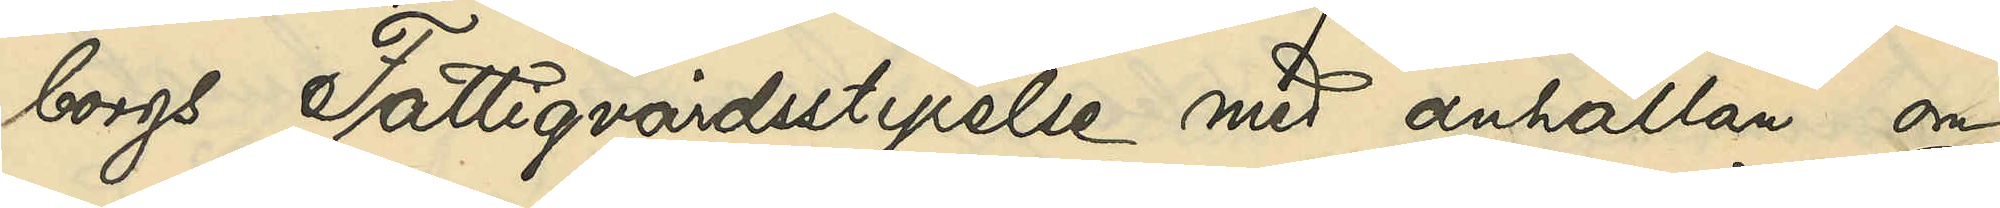borgs Fattigvårdsstyrelse med anhållan om
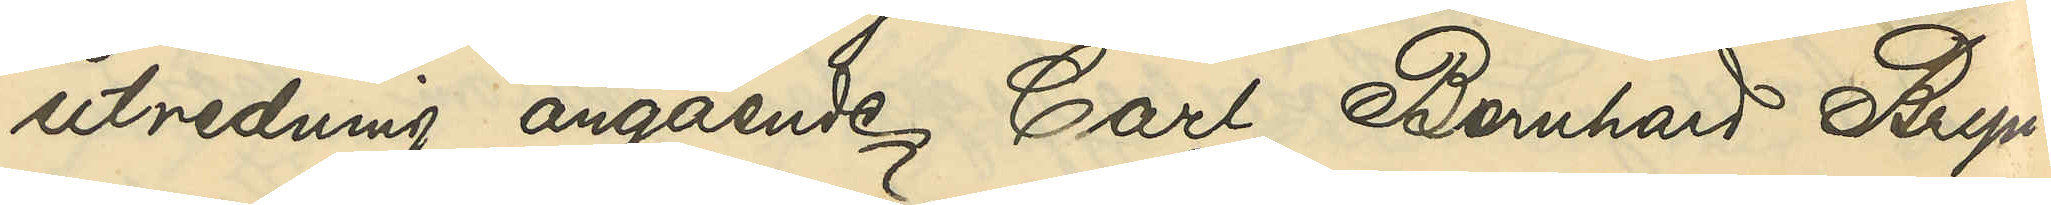utredning angående Carl Bernhard Bryn¬
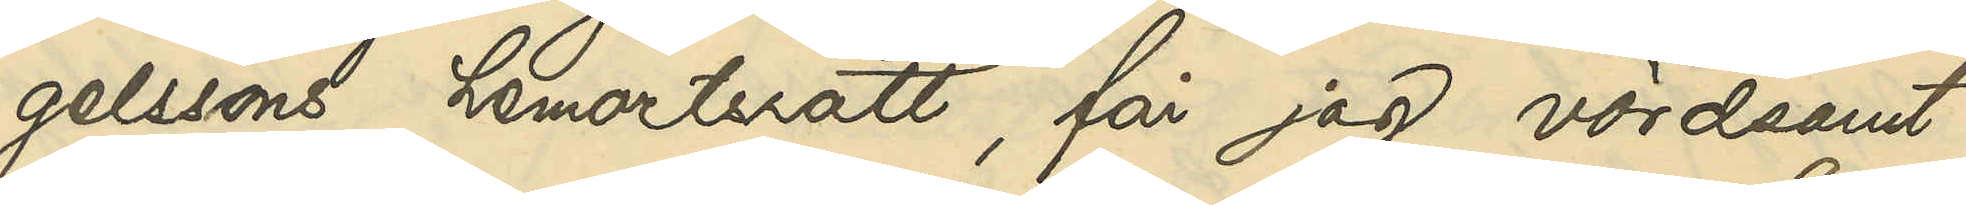gelssons hemortsrätt, får jag vördsamt
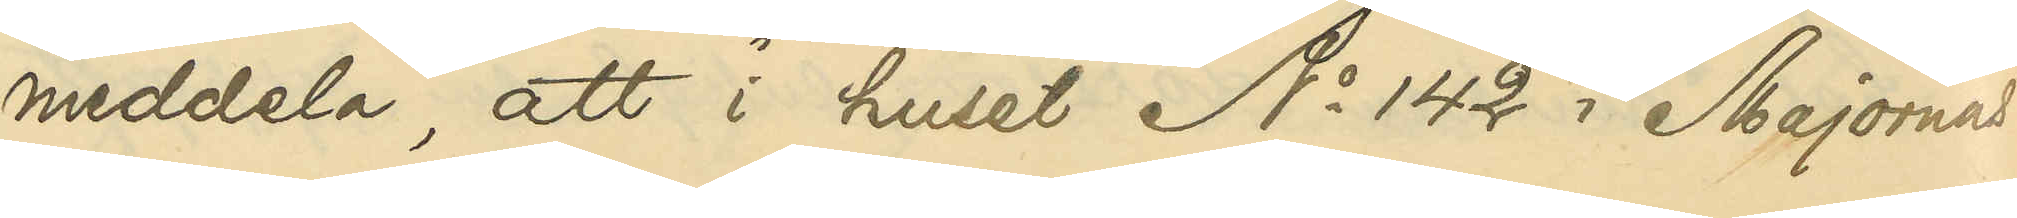meddela, att i huset No 142 i Majornas
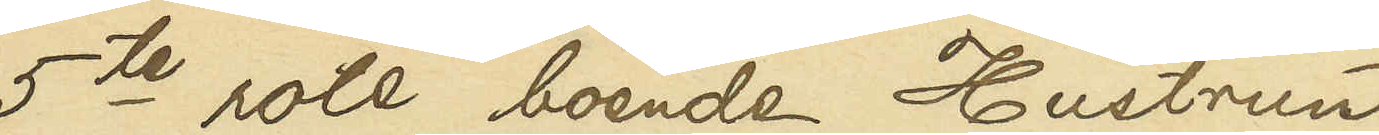5te rote boende Hustrun
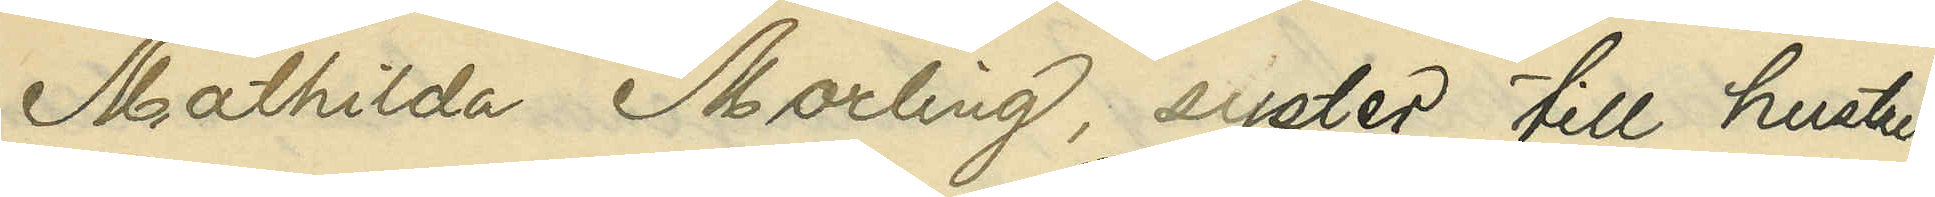Mathilda Norling, syster till hustru
